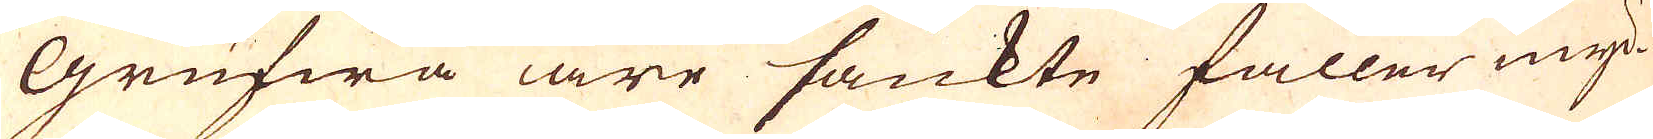Grufwa äre sänkte faller myc-
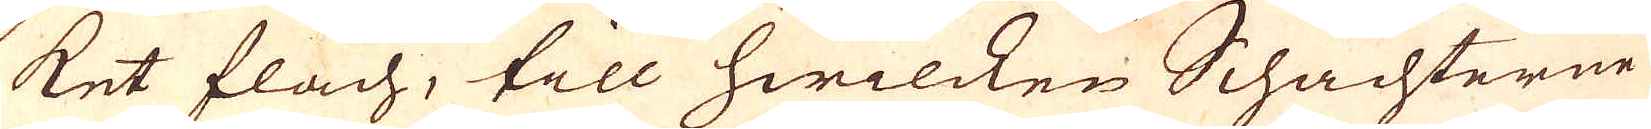ket flach, till hwilcken Schachterne
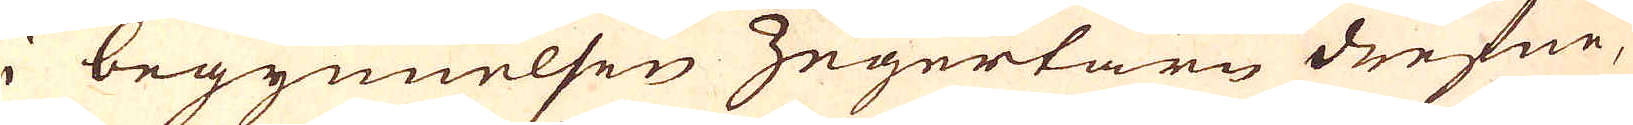i begynnelsen Zegertärn drefne,
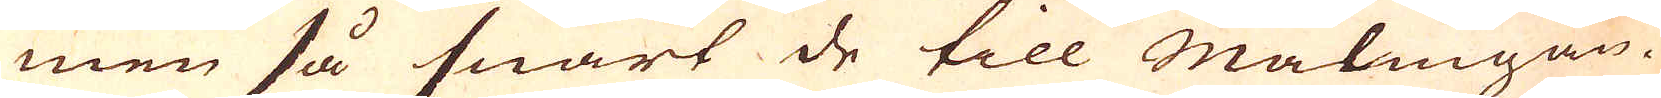men så snart de till Malmgån-
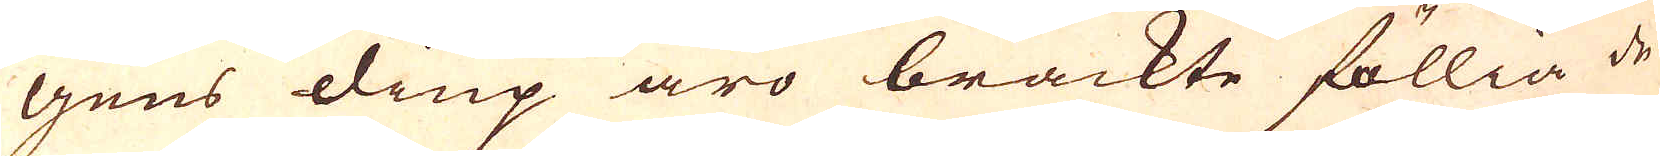gens diup äro brackte föllia de
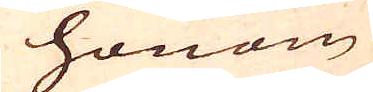honom
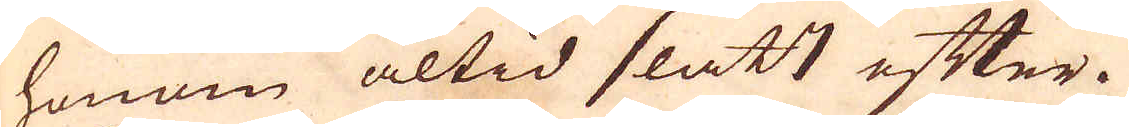honom altid slätt efter.
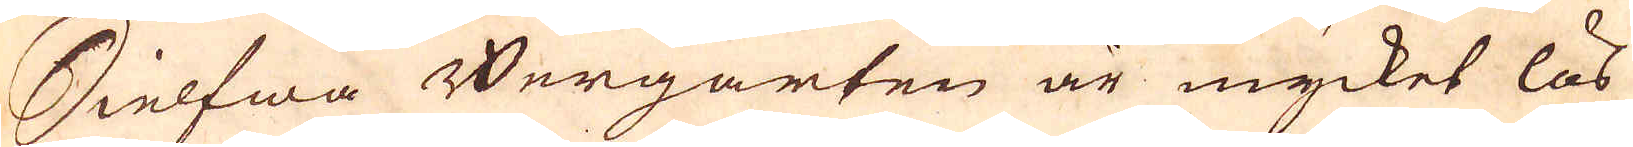Sielfwa Bergarten är mycket lös
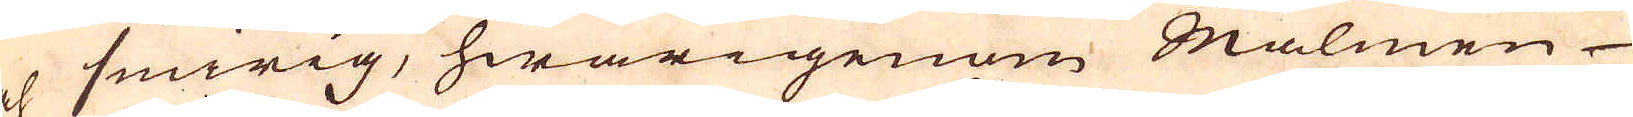och swirig, hwarigenom Malmen
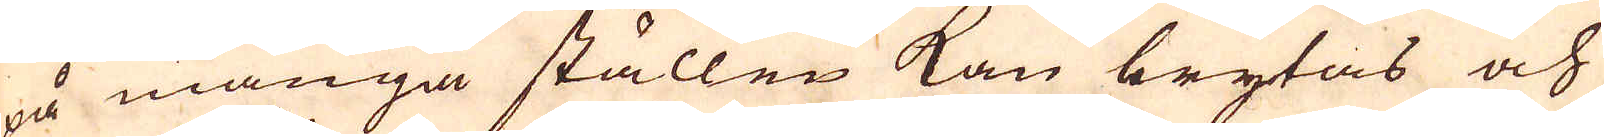på många ställen kan brytas och
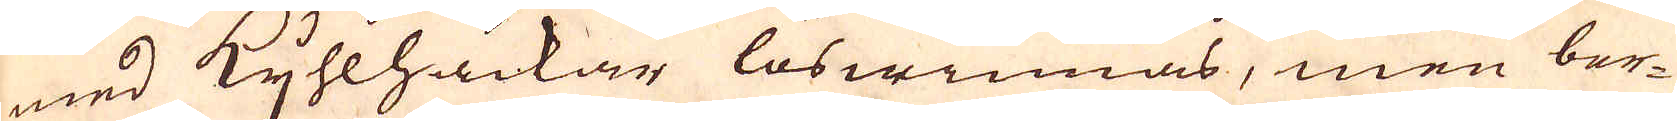med Kyhlhackar löswinnas, men ber-
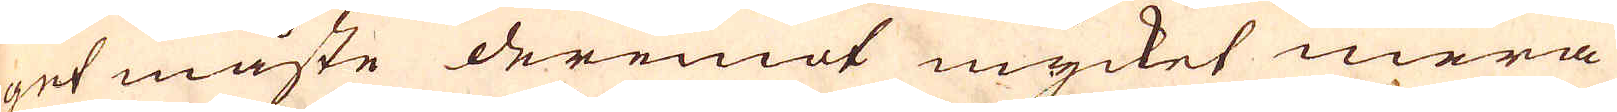get måste deremot mycket mera
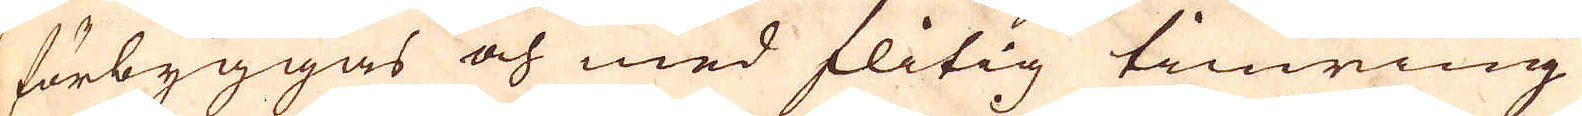förbyggas och med flitig timring
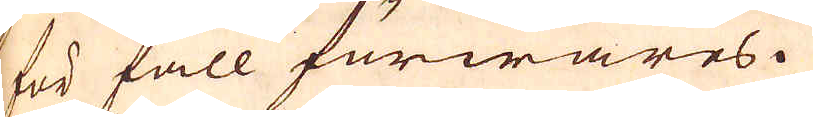för fall förwares.
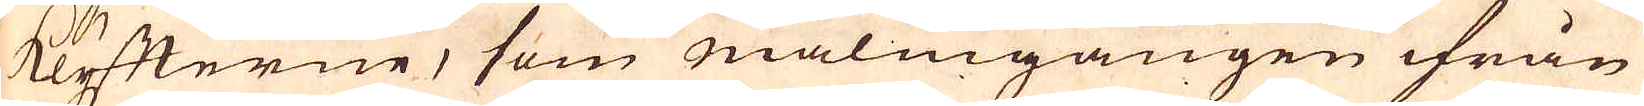klyfterne, som malmgången ifrån
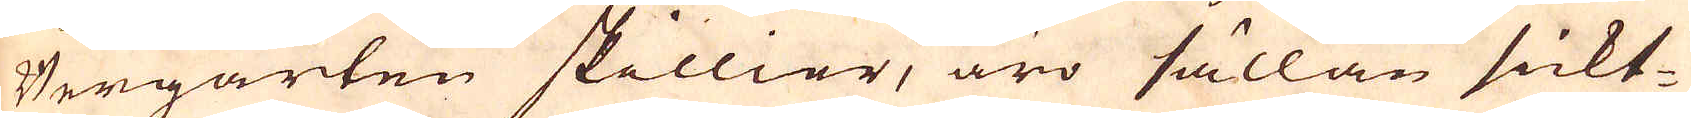Bergarten skillier, äro sällan sickt-
